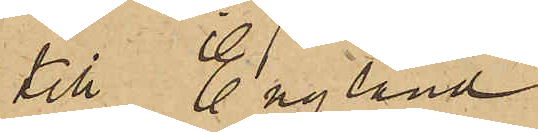till England.
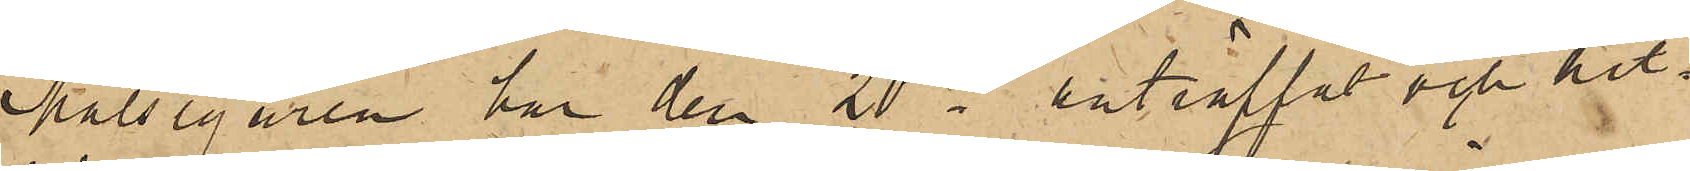Målsegaren har den 20 ds anträffat och hit¬
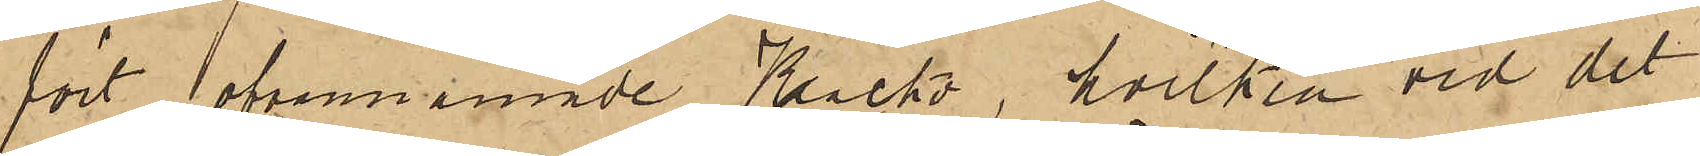fört ofvannämnde Kacko, hvilken vid det
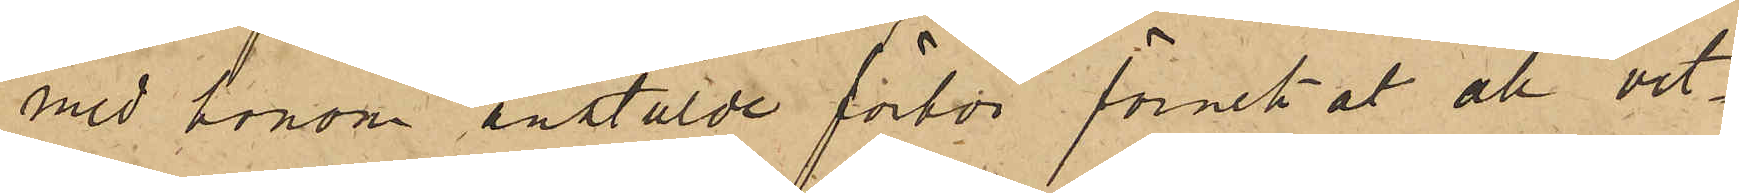med honom anstälde förhör förnekat all vet¬
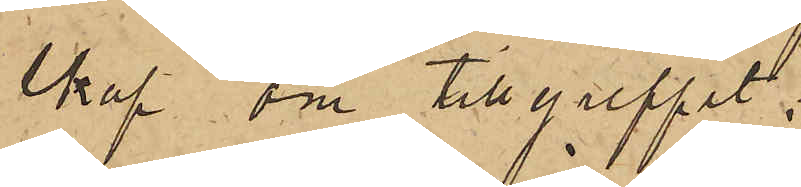skap om tillgreppet;
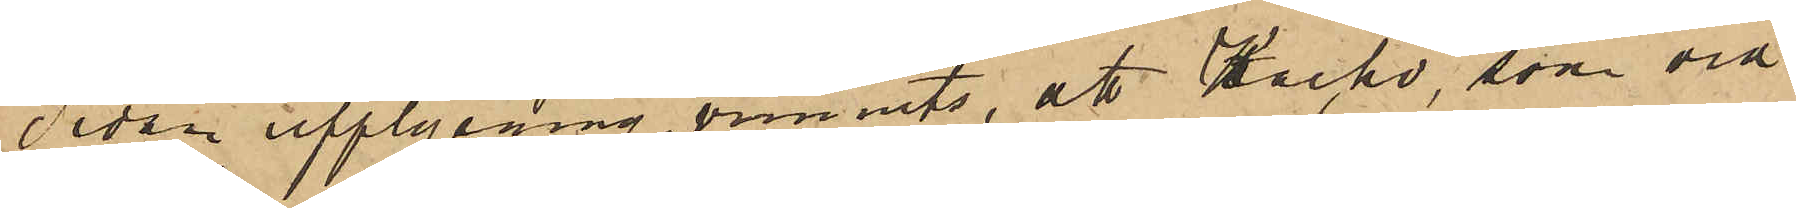Sedan upplysning vunnits, att Kacko, som vid
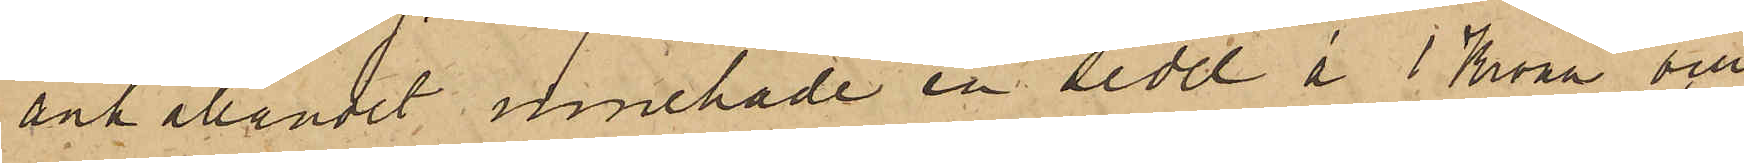anhållandet innehade en sedel å 1 Krona och
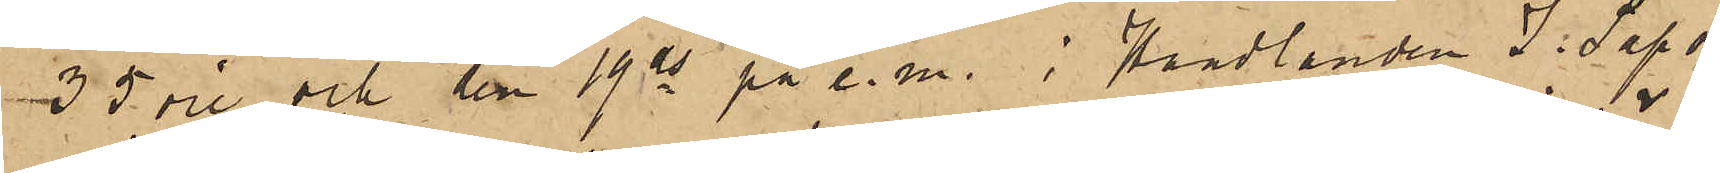35 öre och den 19 ds på e. m. i Handlanden J. Sapo¬
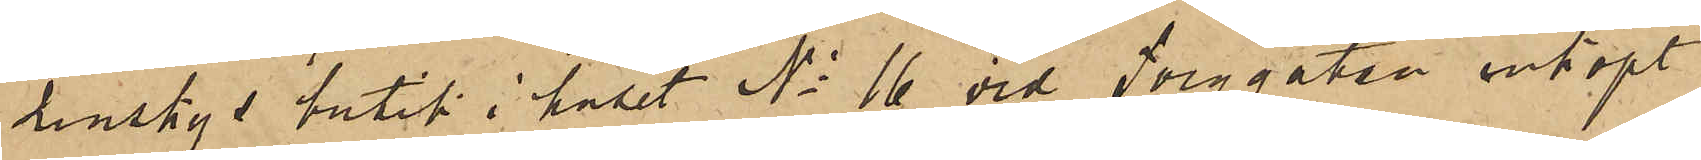zinskys butik i huset No 16 vid Torggatan inköpt
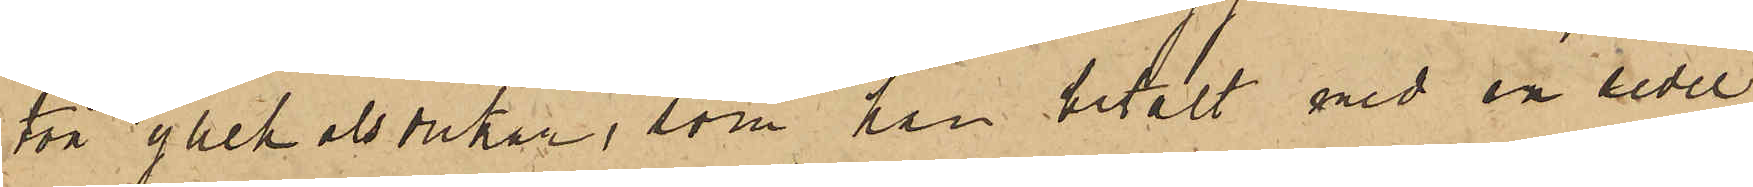två yllehalsdukar, som han betalt med en sedel
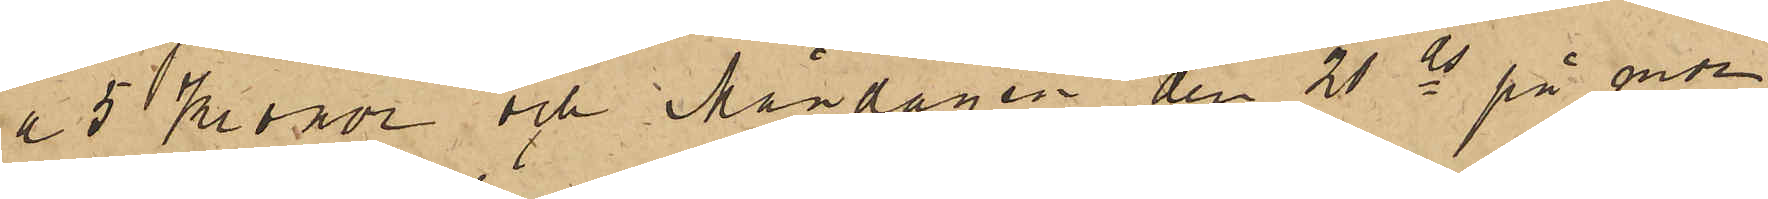a 5 Kronor och Måndagen den 21 ds på mor¬
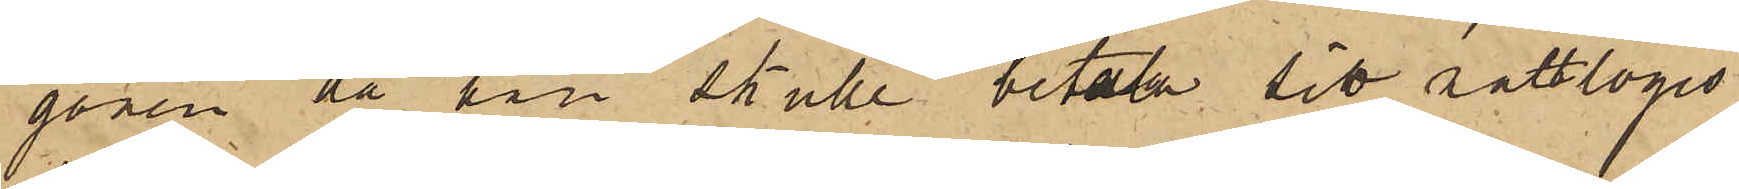gonen då han skulle betala sitt nattlogis
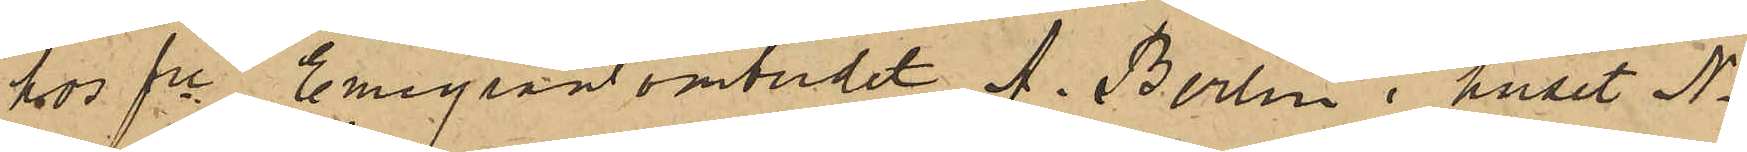hos fre Emigrantombudet A. Berlin i huset No
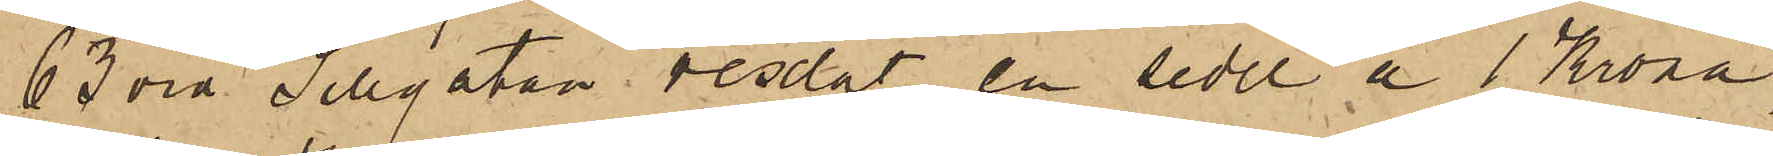63 vid Sillgatan vexlat en sedel a 1 Krona,
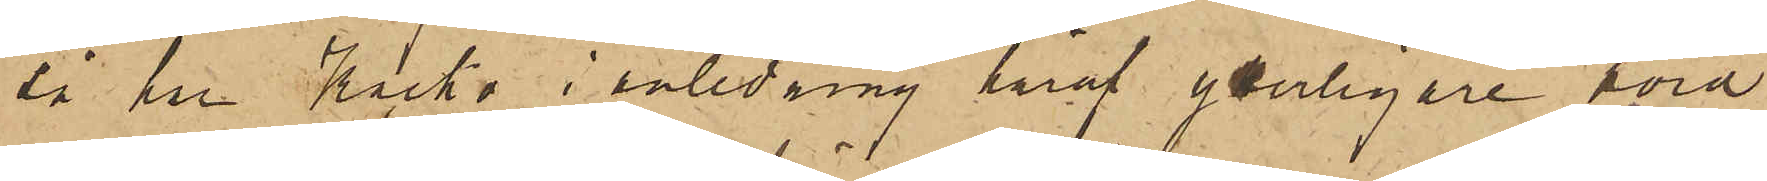så har Kacko i anledning häraf yterligare hörd
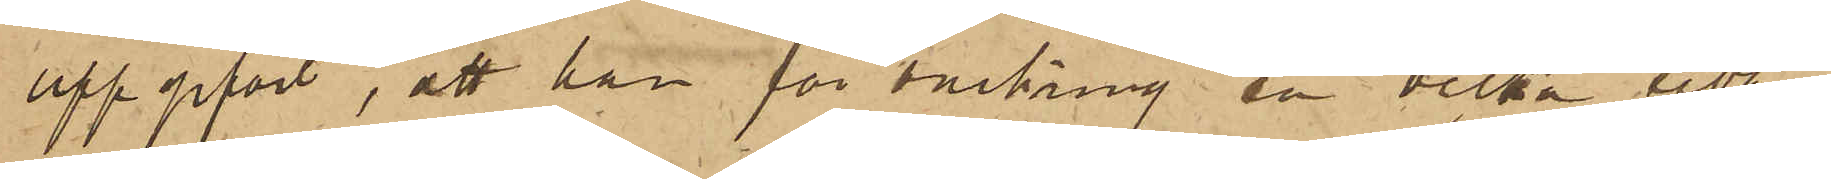uppgifvit, att han för omkring en vecka sedan
